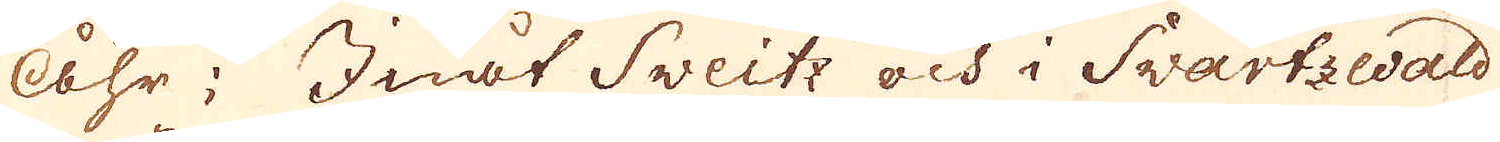Åhr; Inåt Sveitz och i Swartzwald
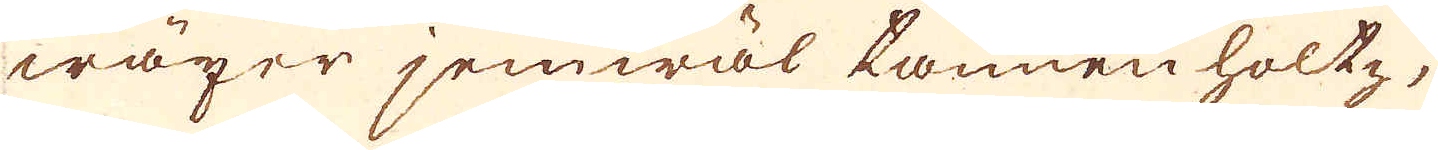wäxer jemwäl tannen holtz,
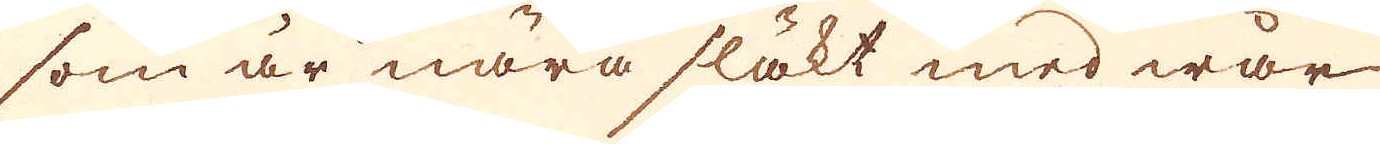som är nära släkt med wår
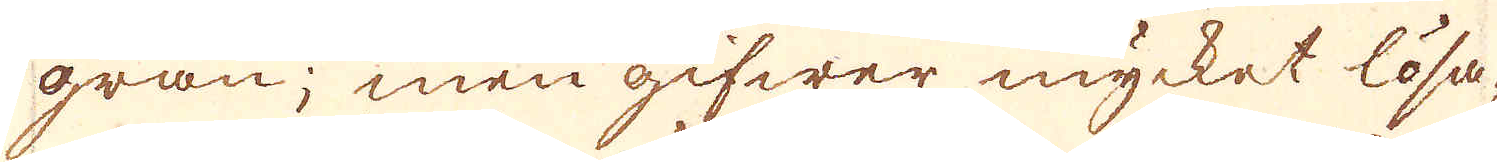gran; men gifwer mycket lösa-
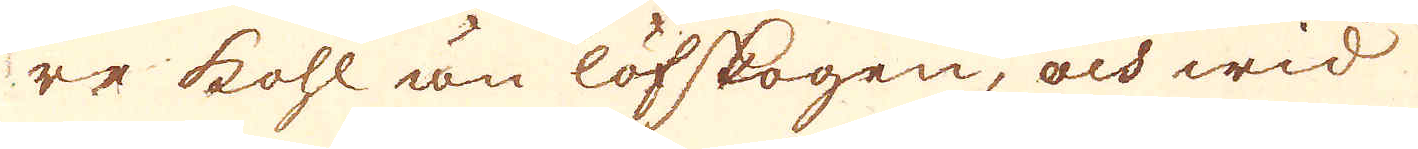re kohl än löfskogen, och wid
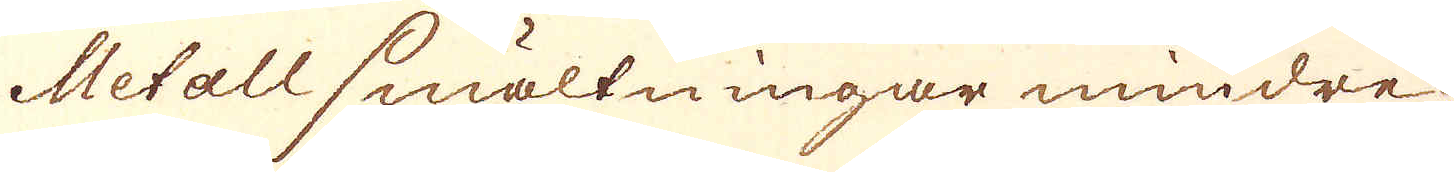Metall smältningar mindre
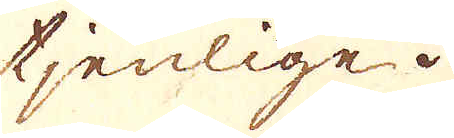tjenlige.
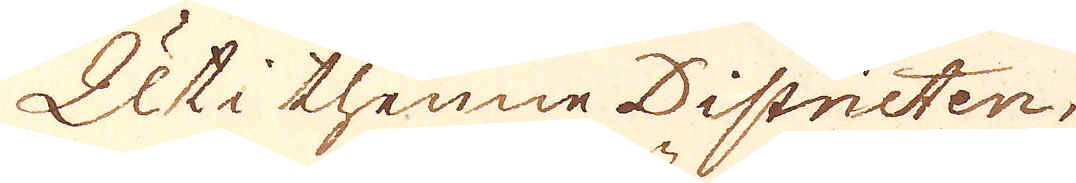Uti thenne Districten,
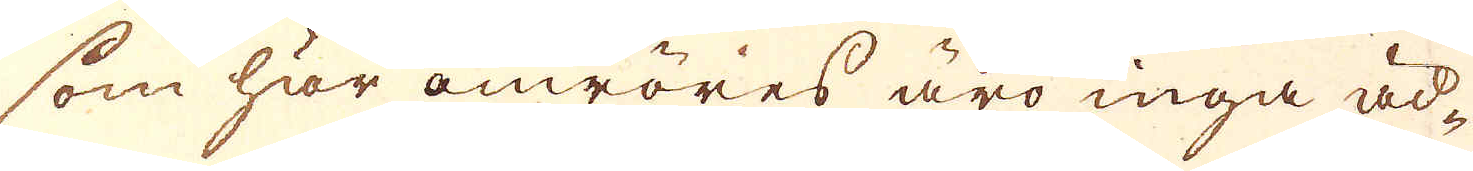som här omröres äro inga äd-
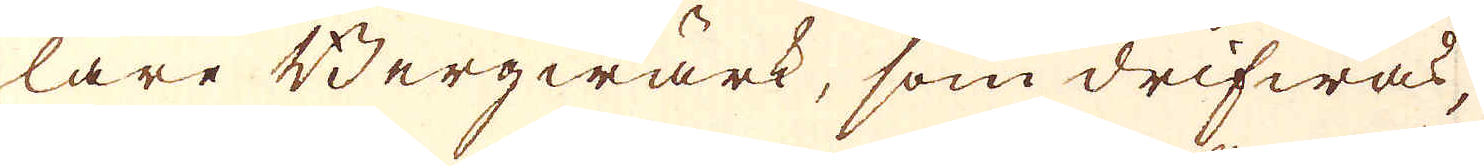lare Berqwärk, som drifwas,
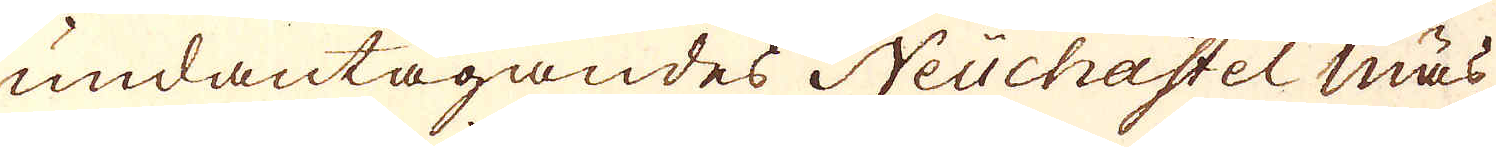undantagandes Neuchahtel mäs-
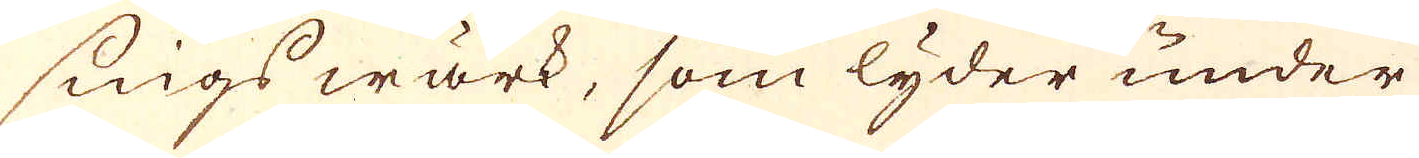sings wärk, som lyder under
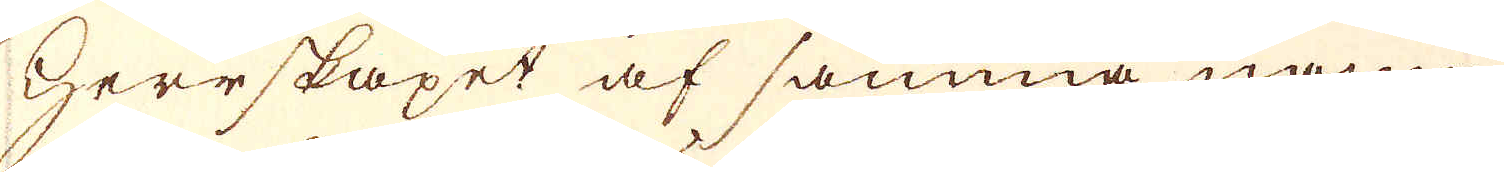Herrskapet af samma namn,
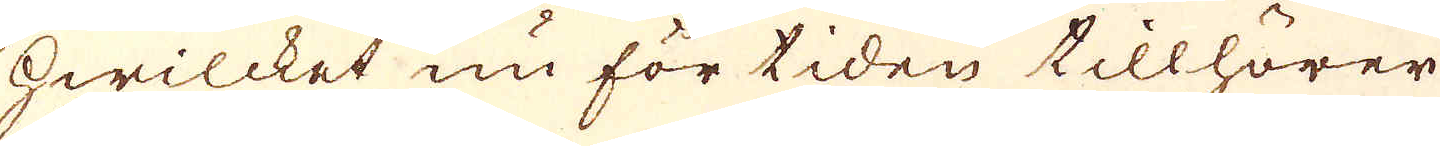hwilcket nu för tiden tillhörer
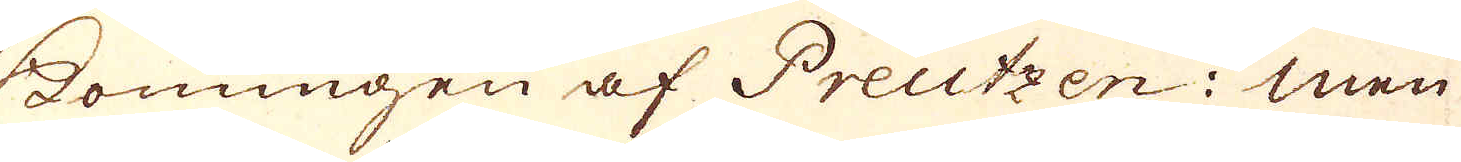Konungen af Preutzen; men
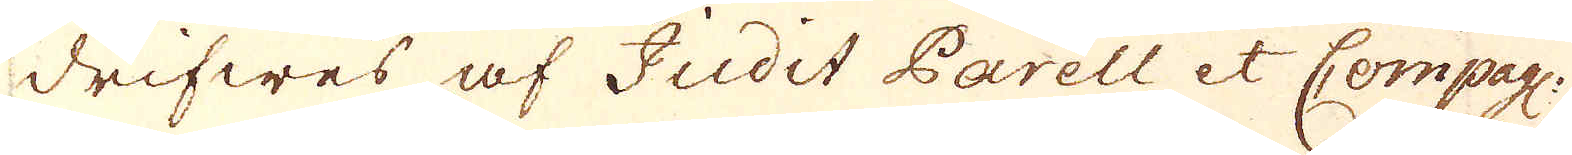drifwes af Judit Parell et Compagn:
